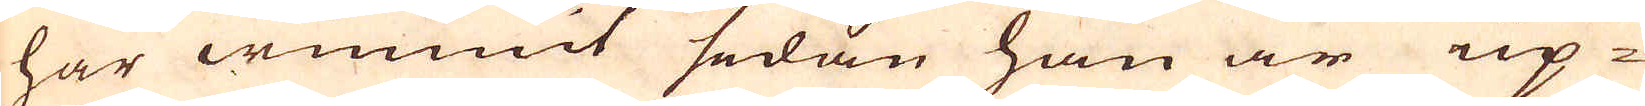har wunnit sedan han är up-
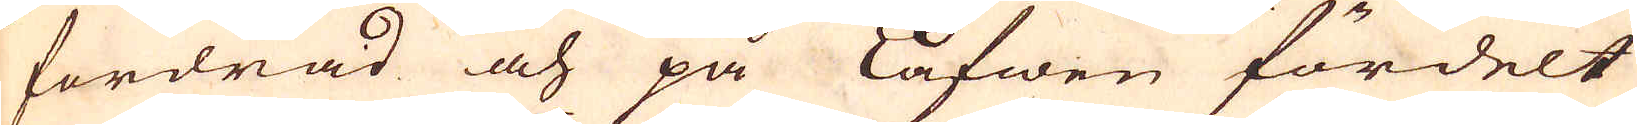fordrad och på Lafwen fördelt
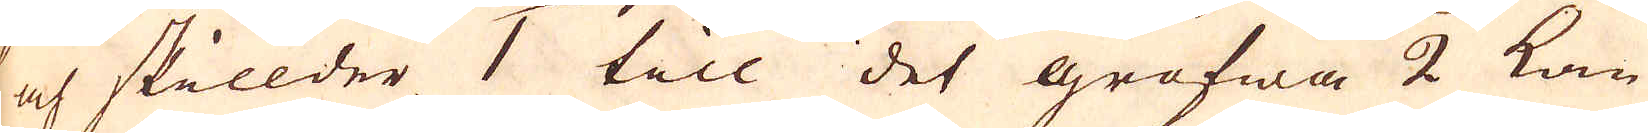och skillder 1 till det grofwa 2 kan
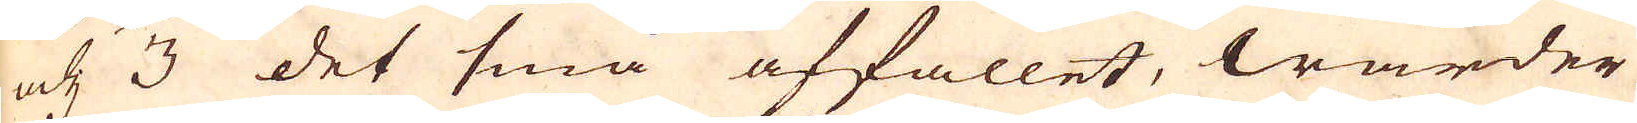och 3 det små affallet, warder
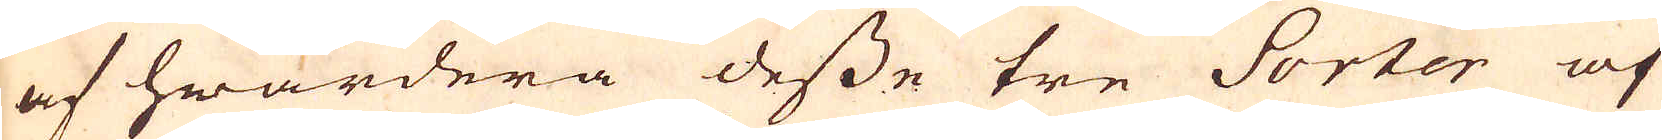af hwardera desse tre Sorter af
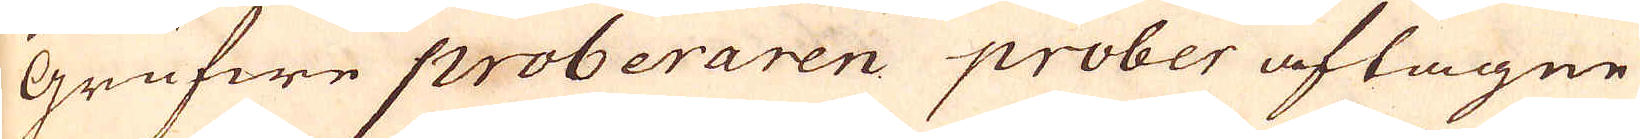Grufwe proberaren prober aftagne
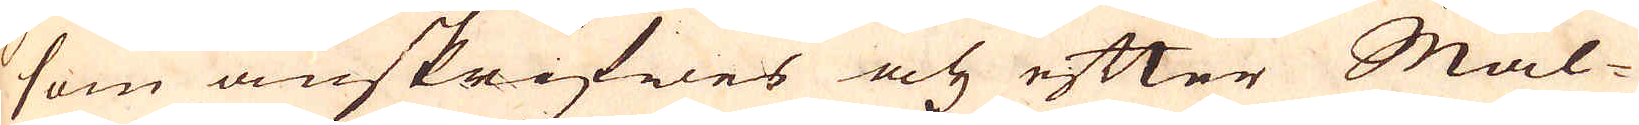som anskrifwes och efter Mal-
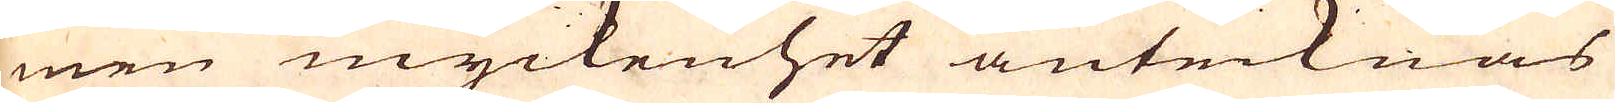men myckenhet antecknas
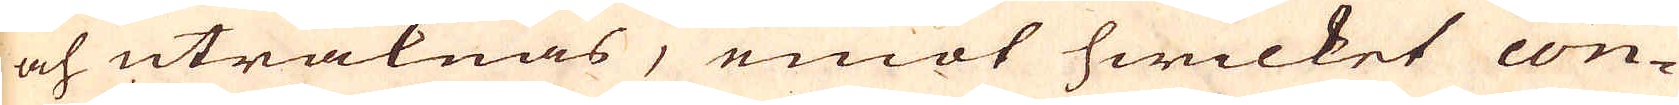och uträknas, emot hwilket con-
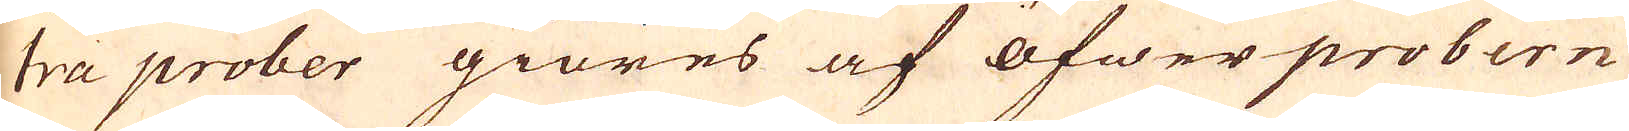tra prober giöres af öfwer probern
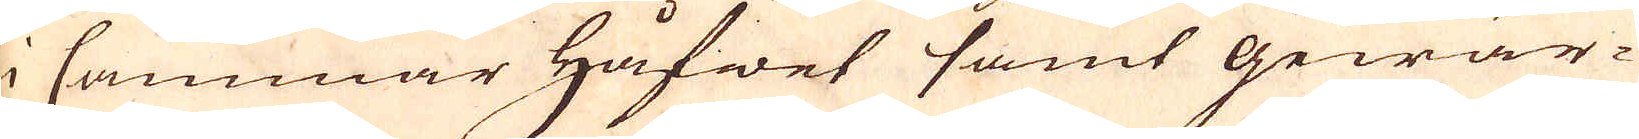i Cammar håfwet samt gewär-
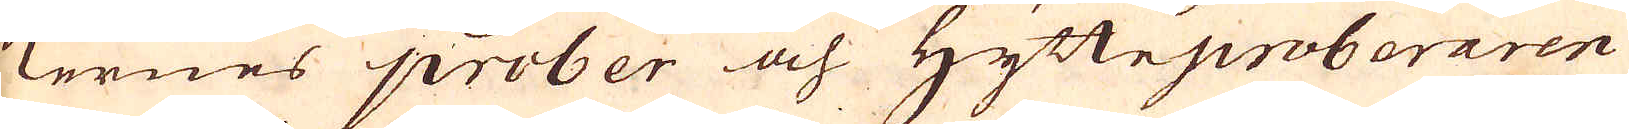kernes prober och Hytteproberaren
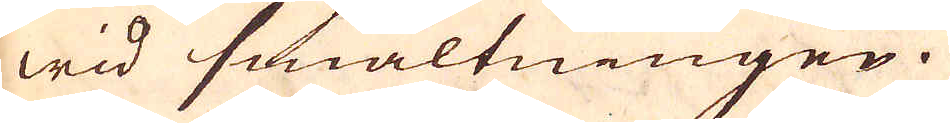wid smältningen.
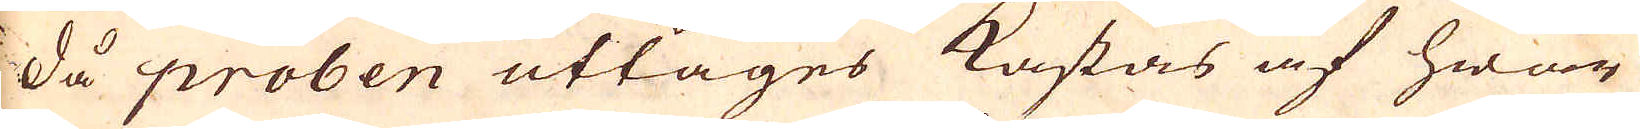Då proben uttages kastas af hwar
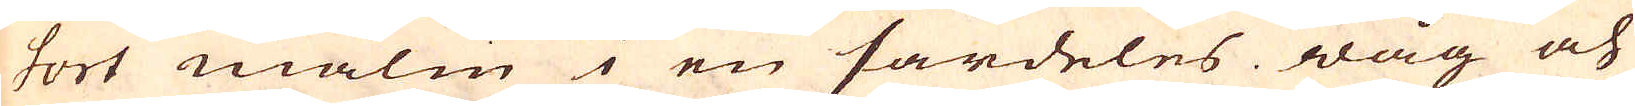sort malm en särdeles wåg och
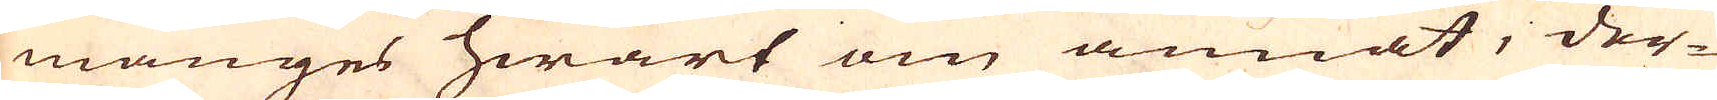månges hwart om annat, der-
